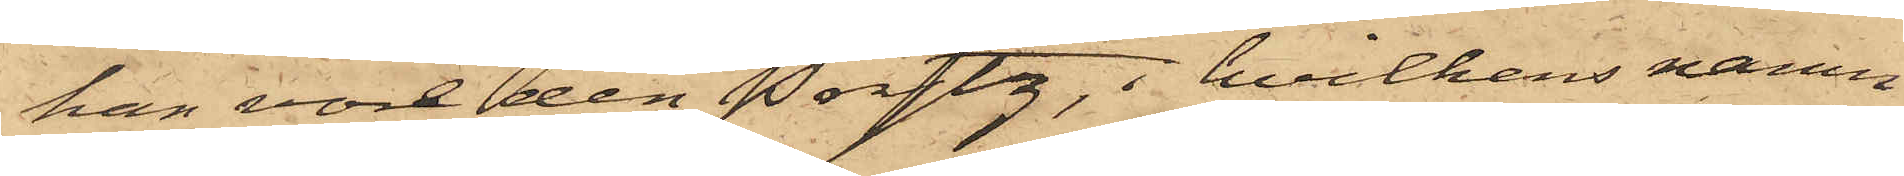han vore den Prytz, i hvilkens namn
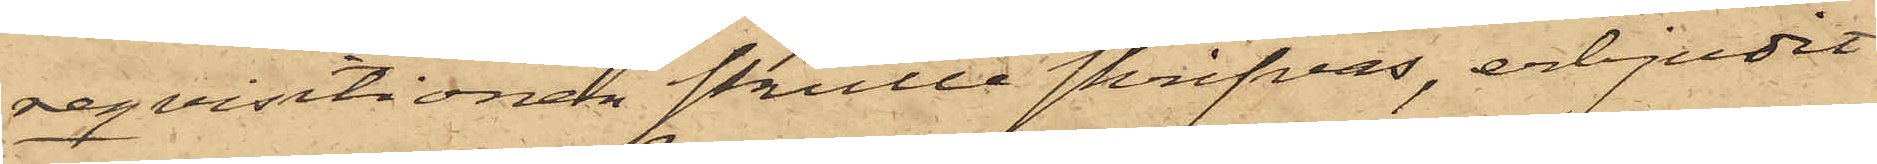reqvisitionen skulle skrifvas, erbjudit
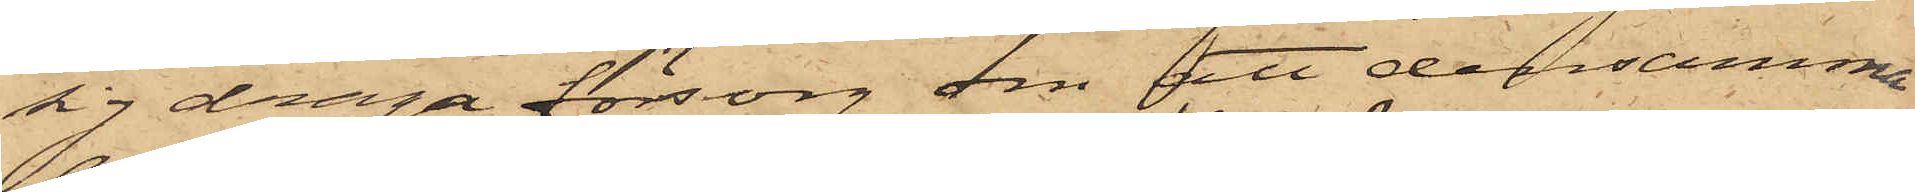sig draga försorg om att densamma
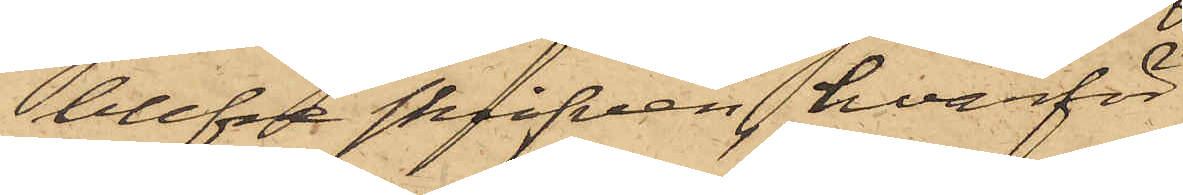blefve skrifven, hvarför
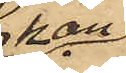han
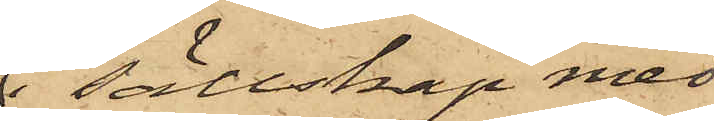i sällskap med
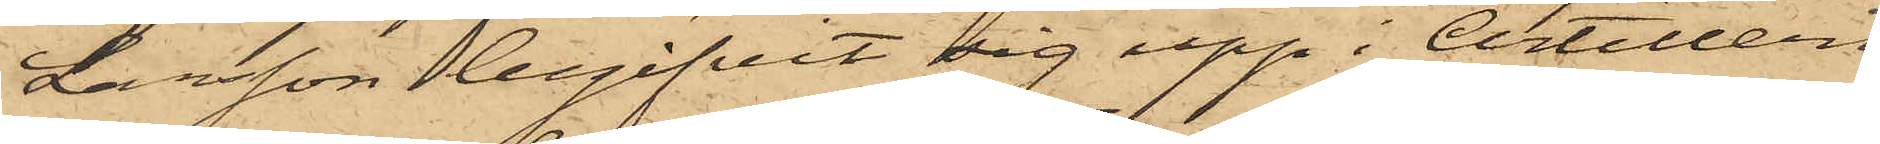Larsson begifvit sig upp i Artilleri
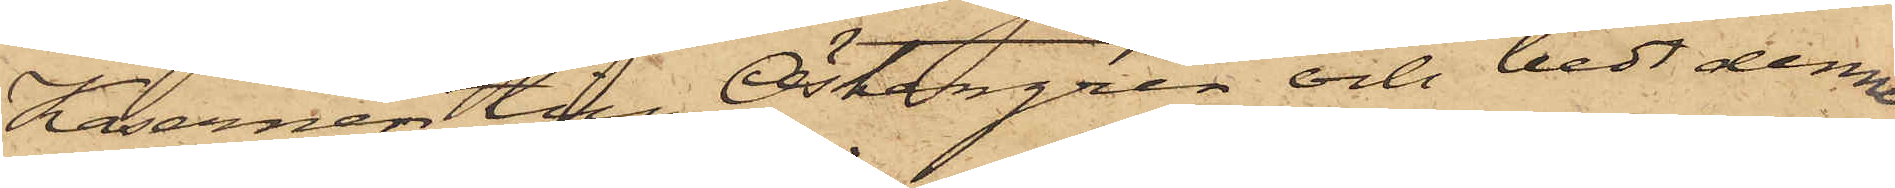Kasernen till Östergren och bedt denne
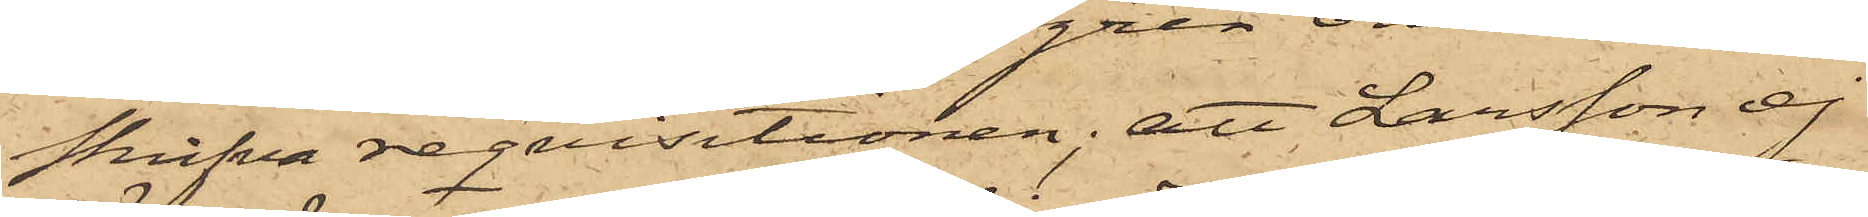skrifva reqvisitionen; att Larsson ej
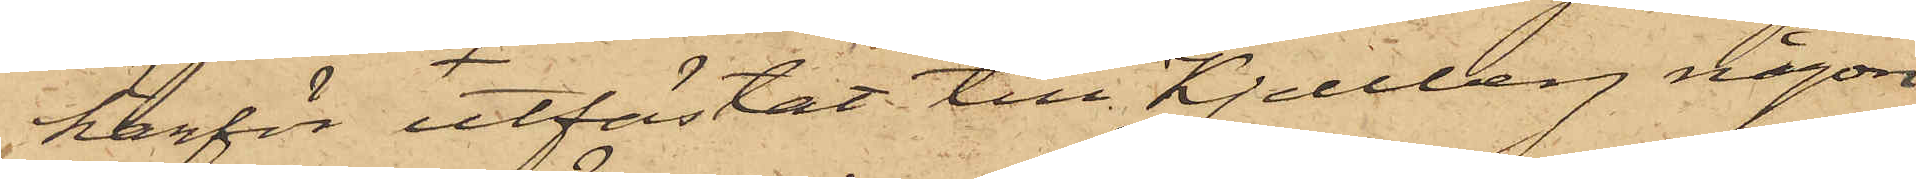härför utfästat till Kjellberg någon
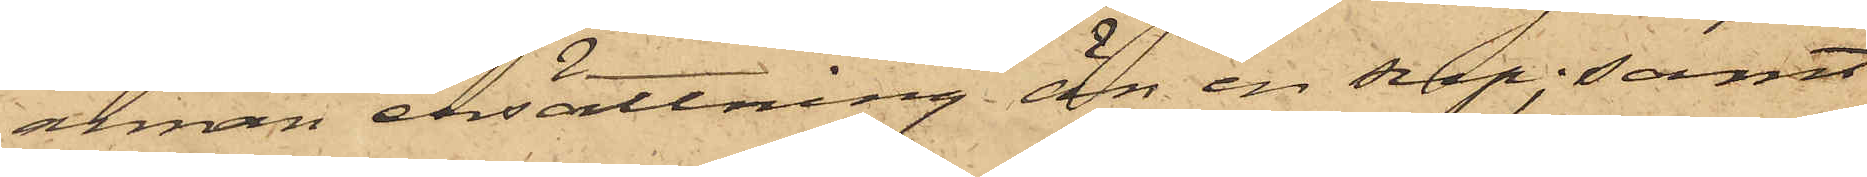annan ersättning än en sup; samt
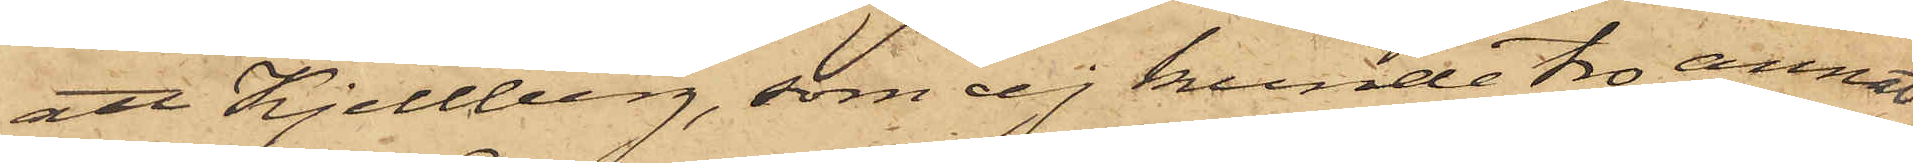att Kjellberg, som ej kunde tro annat
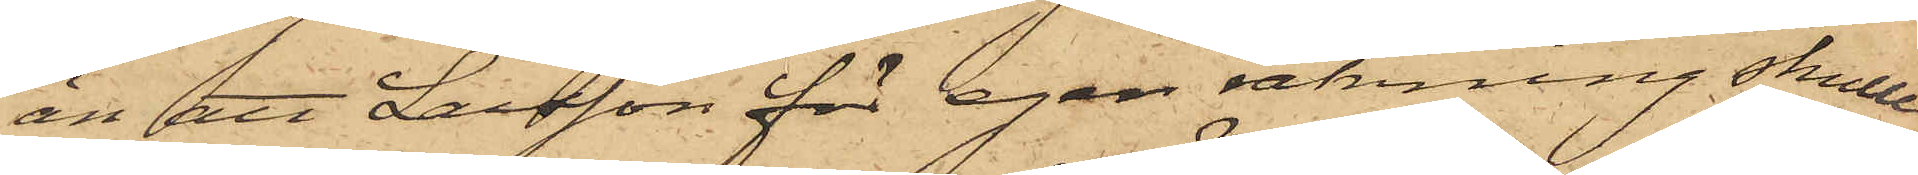än att Larsson för egen räkning skulle
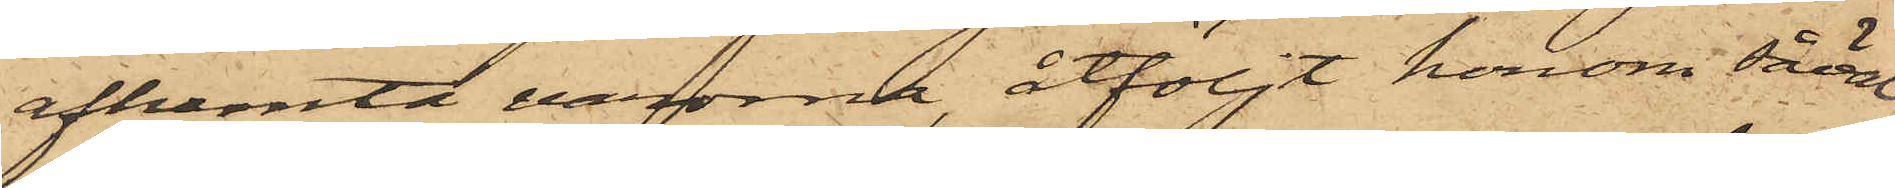afhemta varorna, åtföljt honom såväl
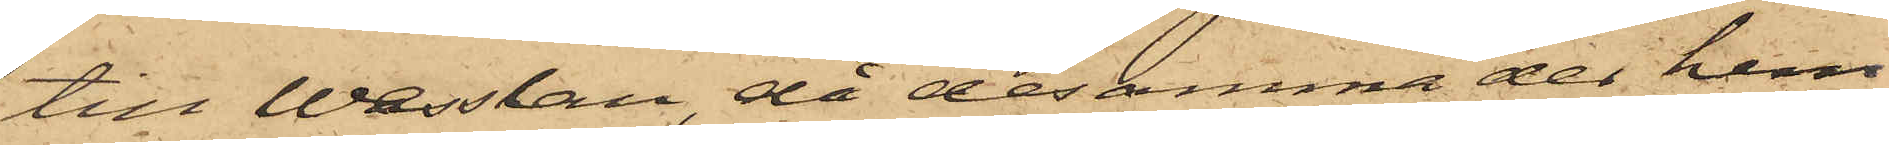till Wesslau, då desamma der hem¬
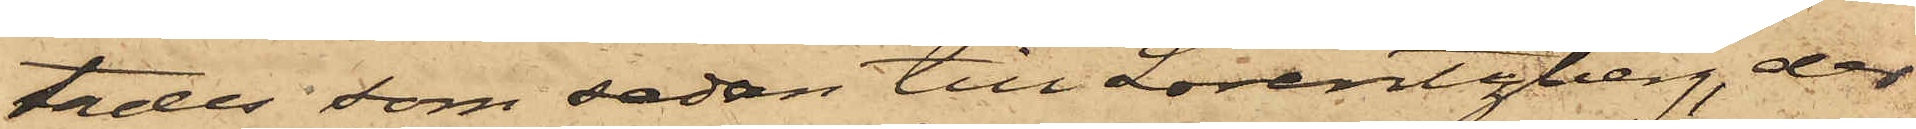tades, som sedan till Lorentzberg, der
